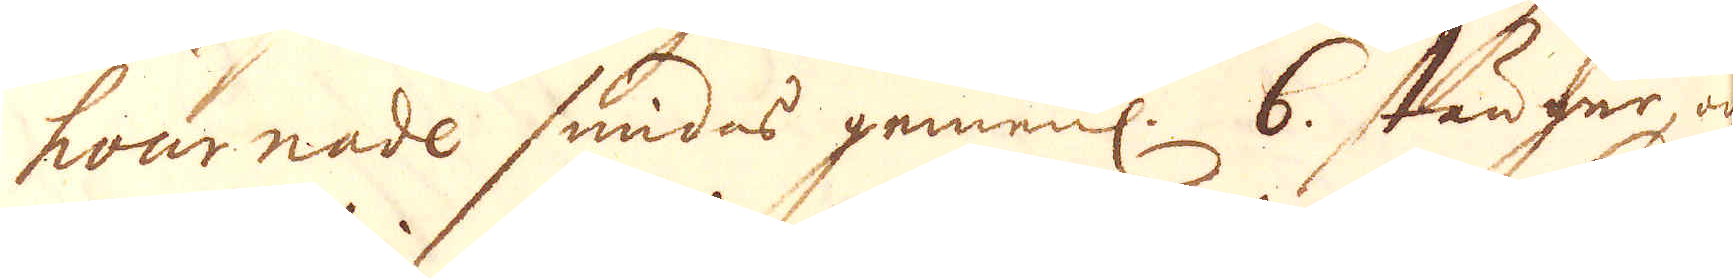hournade smidas gemenl. 6. stänger, och
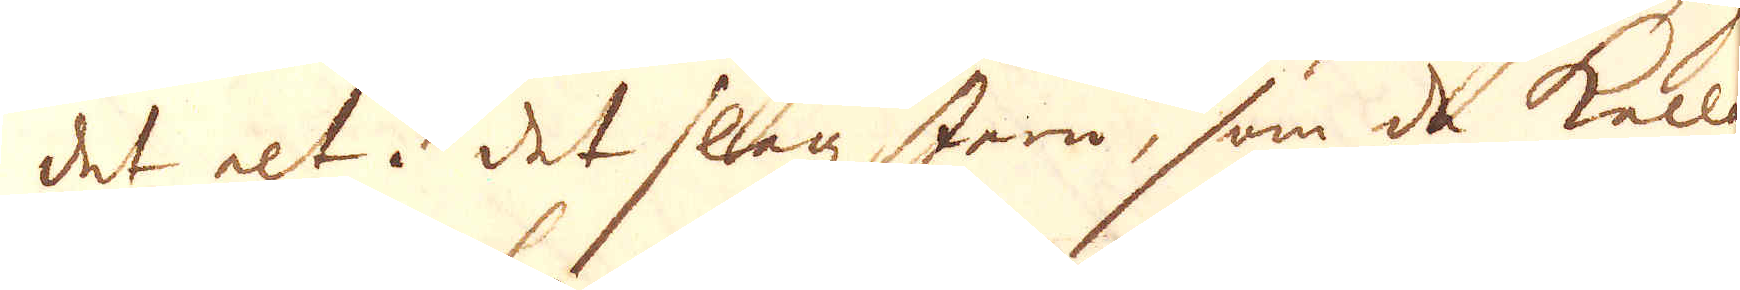det alt i det slagz Jeen, som de kalla
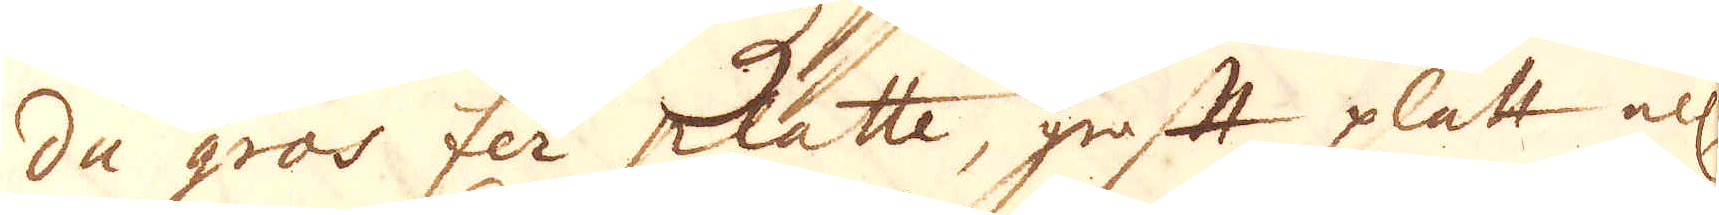du gros fer platte, groft platt el:r
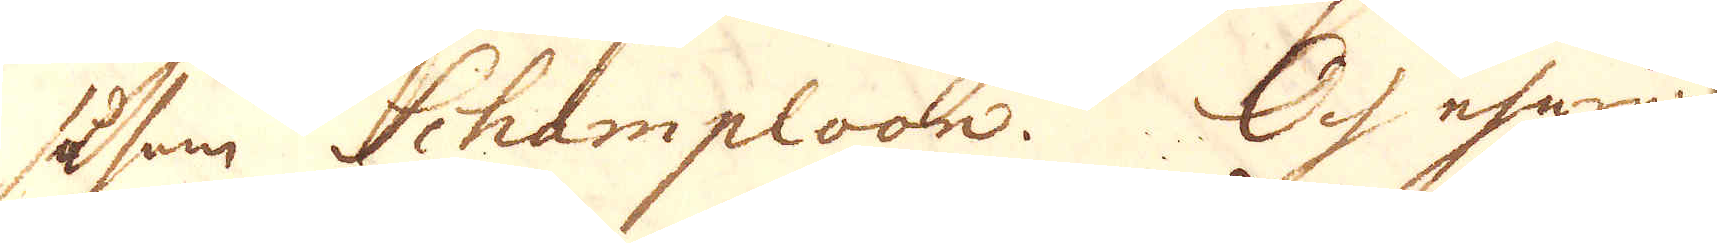såsom Schamploon. Och ehuruwäl
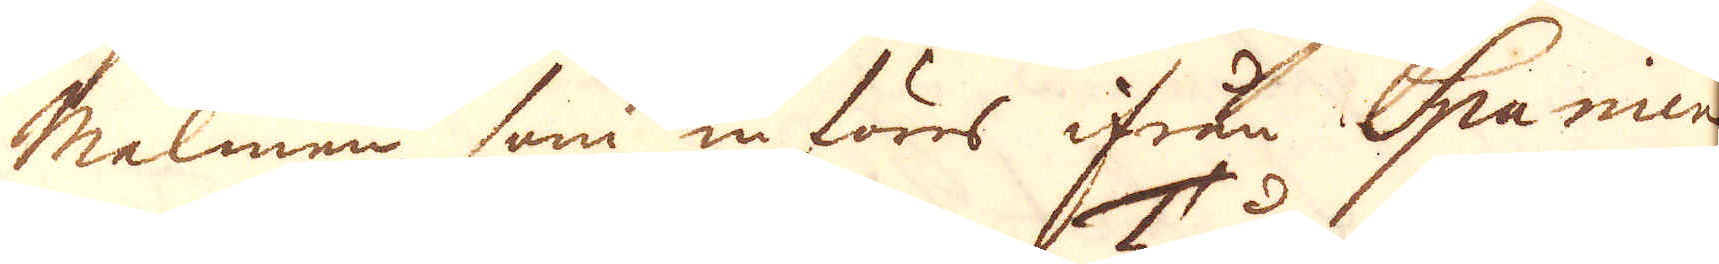Malmen som införes ifrån Spanien
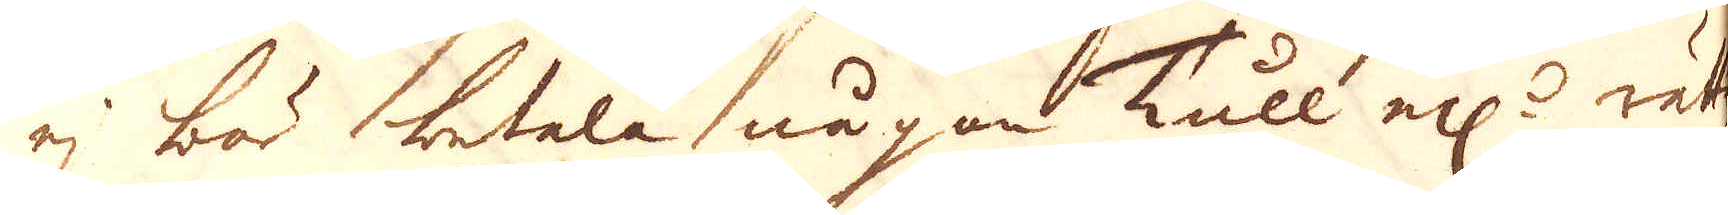ej bör betala någon Tull el:r rätti-
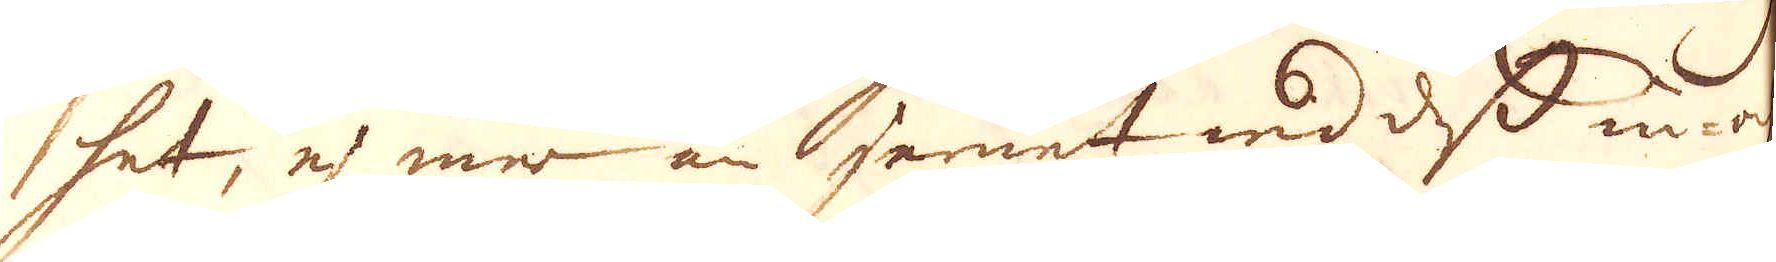het, ej mer än jernet wid dess in- och
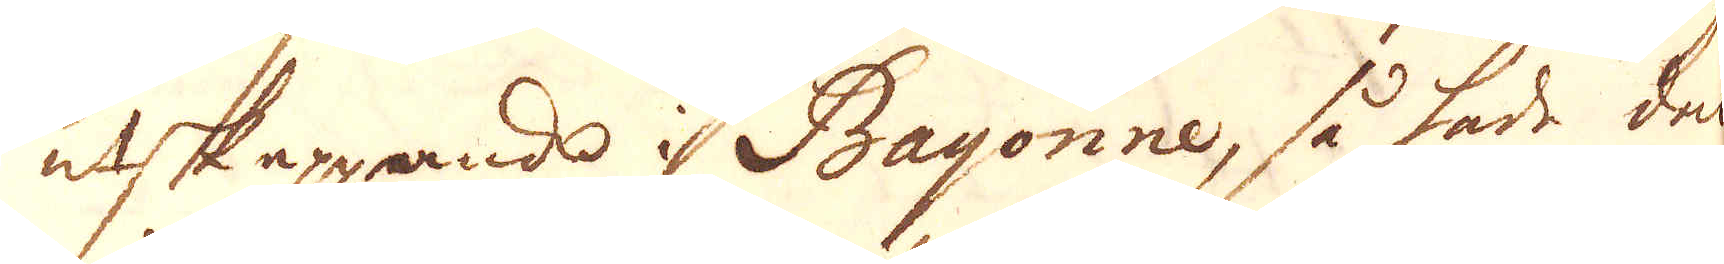utskeppande i Bayonne, så hade den
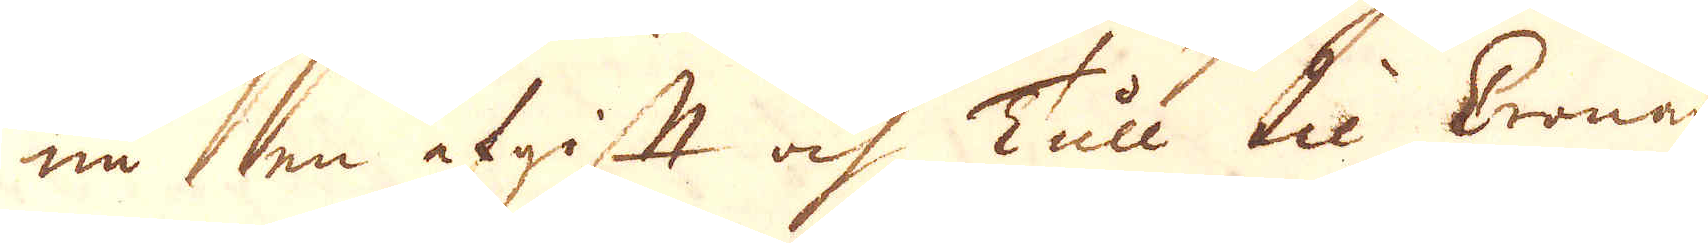nu en afgift och Tull til Cronan
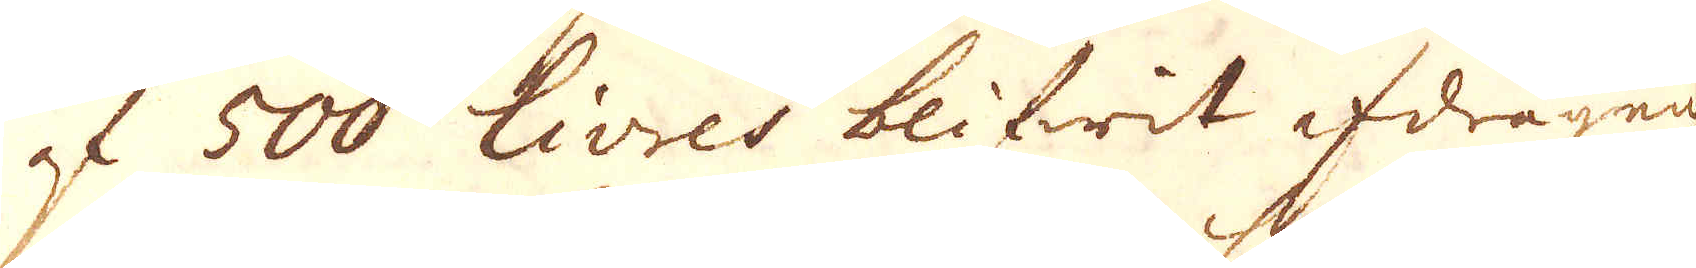af 500 Livres blifwit afdragen
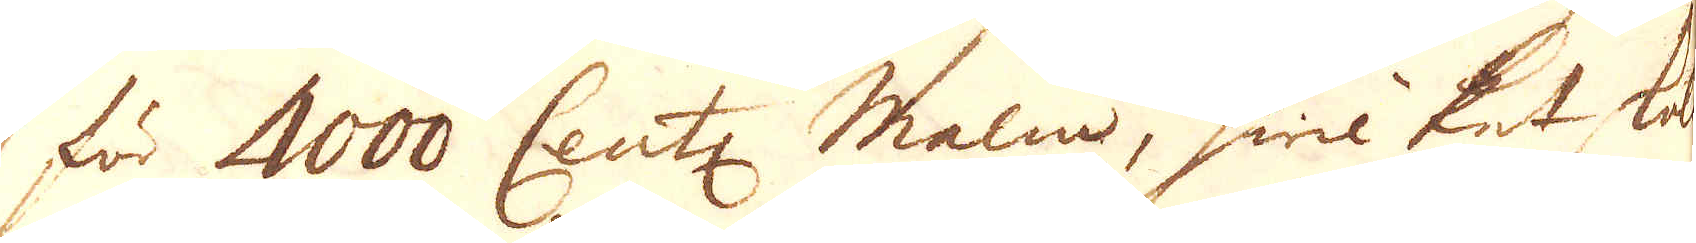för 4000 Cent: malm, hwilket skal
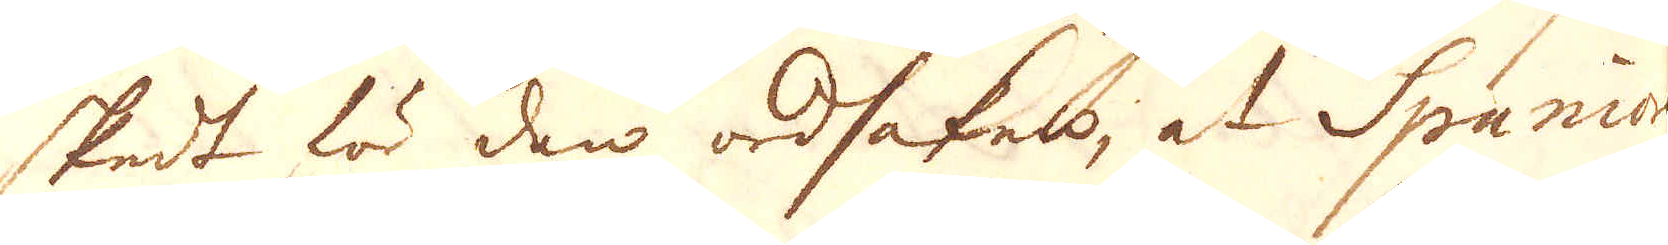skedt för den ordsaken, at Spanior-
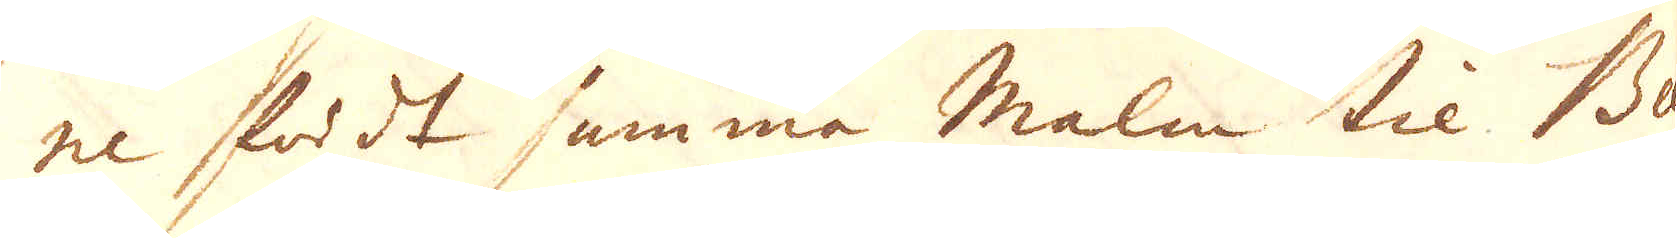ne fördt samma malm til Ba-
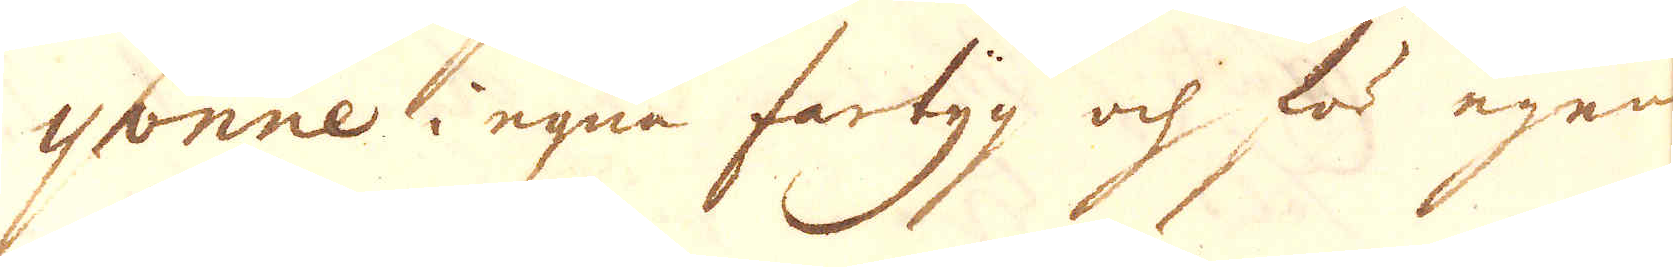yonne i egna fartyg och för egen
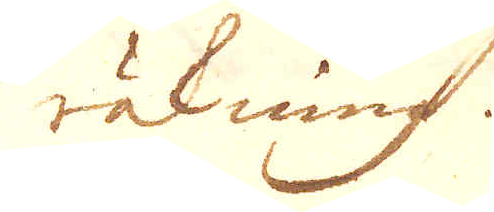räkning.
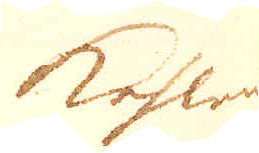kohlen
